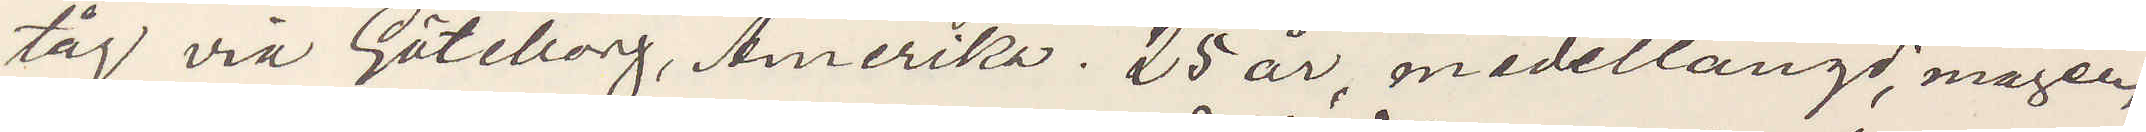tåg via Göteborg, Amerika. 25 år, medellängd, mager,
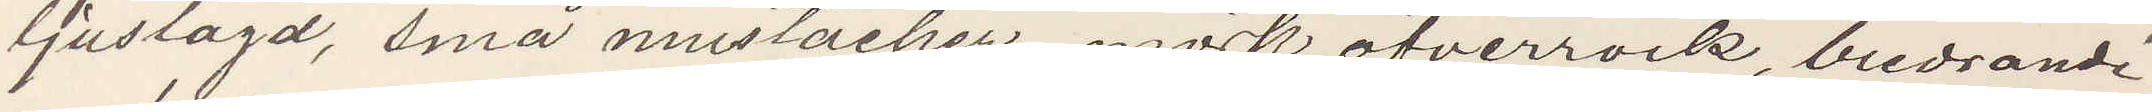ljuslagd, små mustacher, mörk öfverrock, bredrandi¬
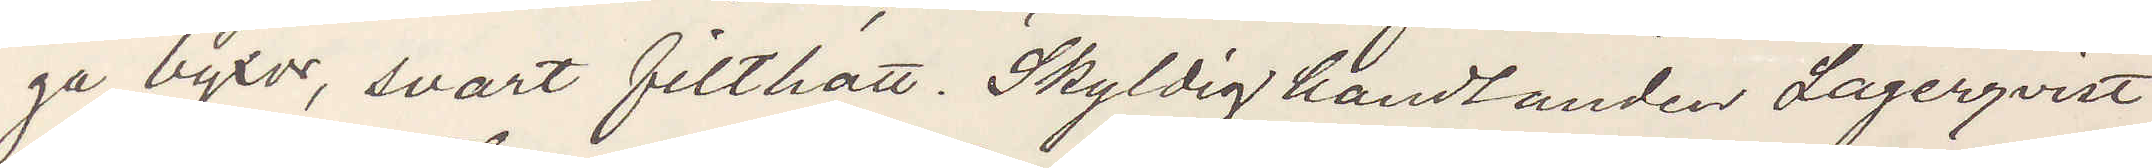ga byxor, svart filthatt. Skyldig handlanden Lagerqvist
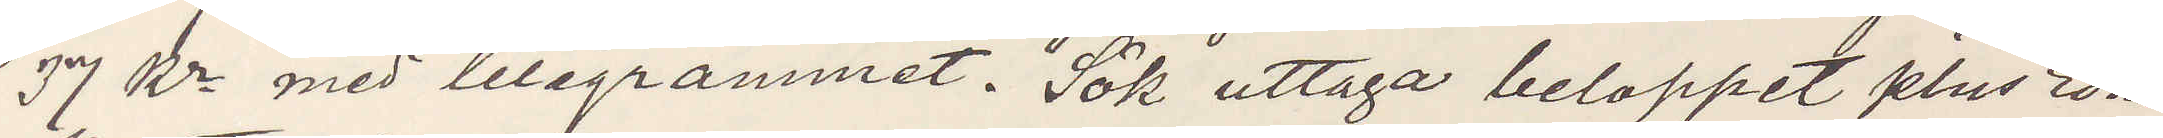37 Kr med telegrammet. Sök uttaga beloppet plus Edra
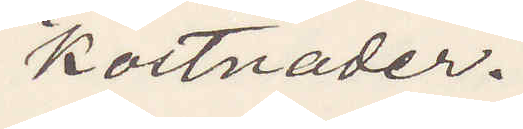kostnader.
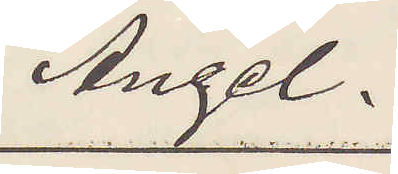Angel.
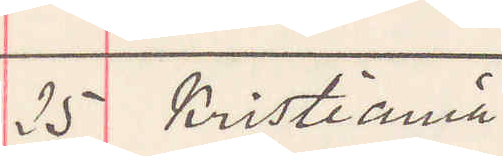25 Kristiania
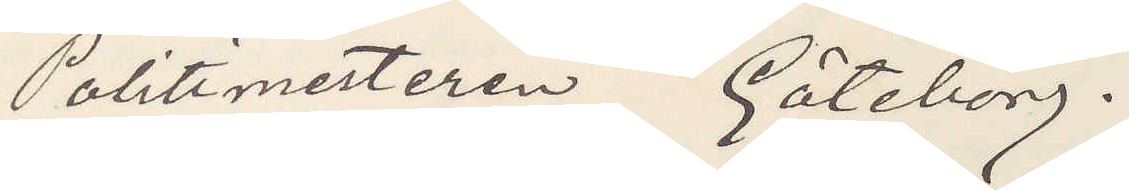Politimesteren Göteborg.
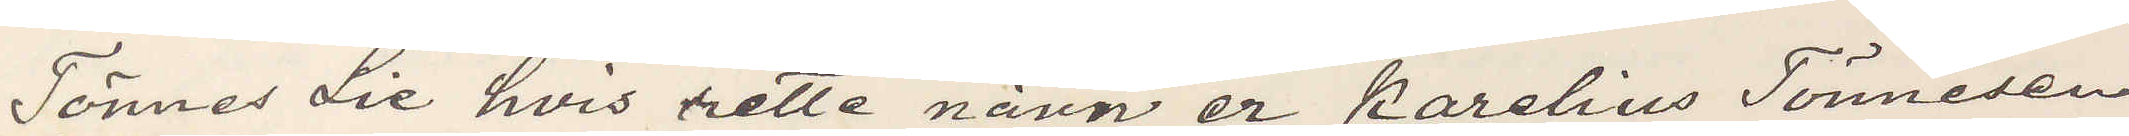Tönnes Lie hvis rette navn er Karelius Tönnesen
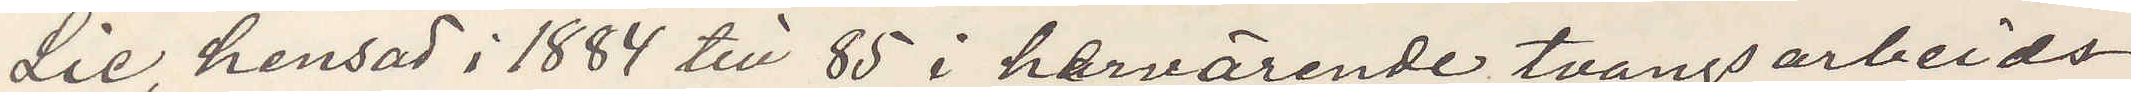Lie, hensad i 1884 till 85 i hervarende tvångsarbetds¬
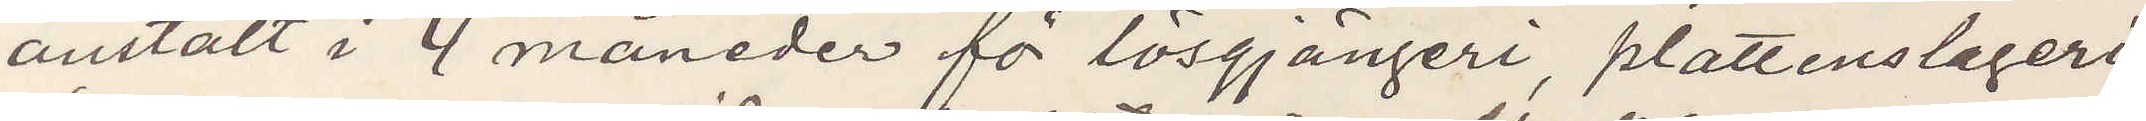anstalt i 4 månader för lösgjängeri, plattenslageri,
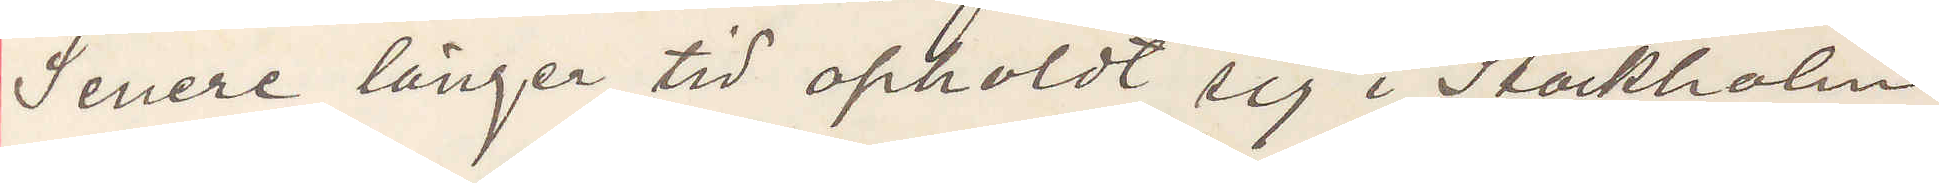Senere länger tid opholdt sig i Stockholm.
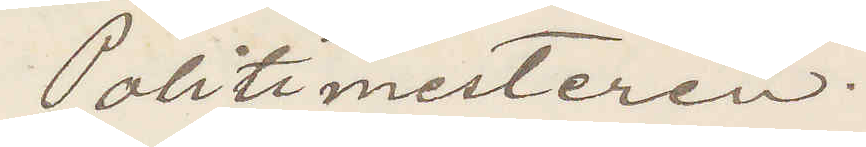Politimesteren
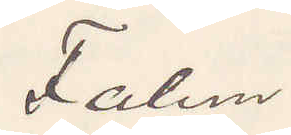Falun
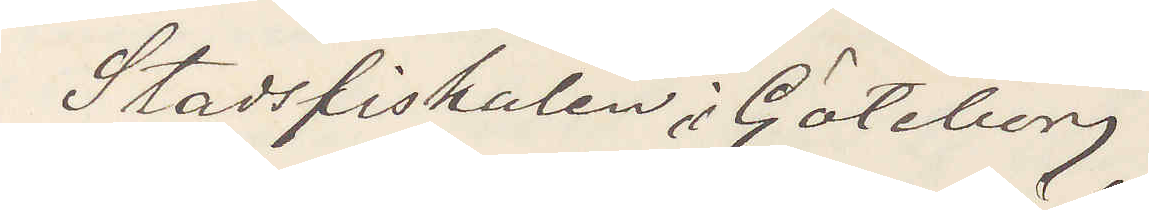Stadsfiskalen i Göteborg
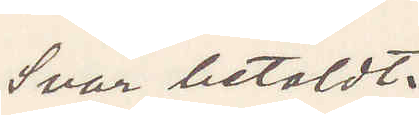Svar betaldt.
